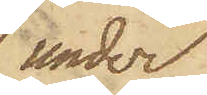under
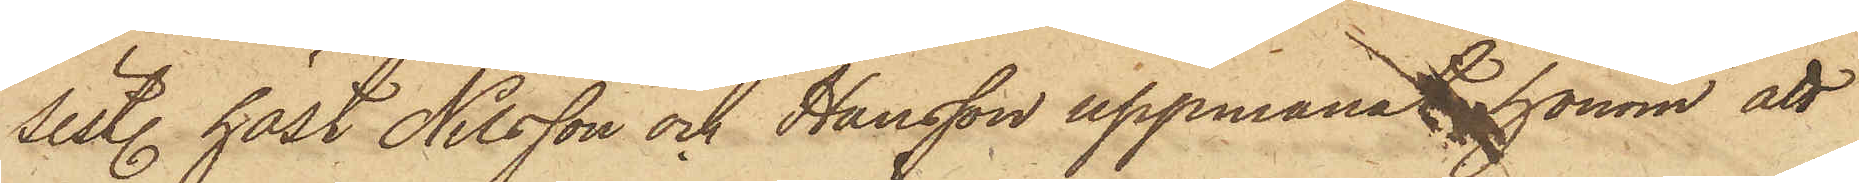sist. höst Nilsson och Hansson uppmanat honom att
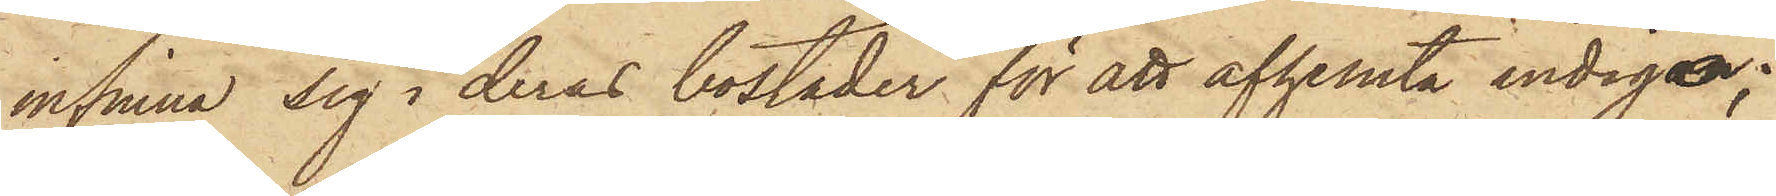infinna sig i deras bostäder för att afhemta indigo;
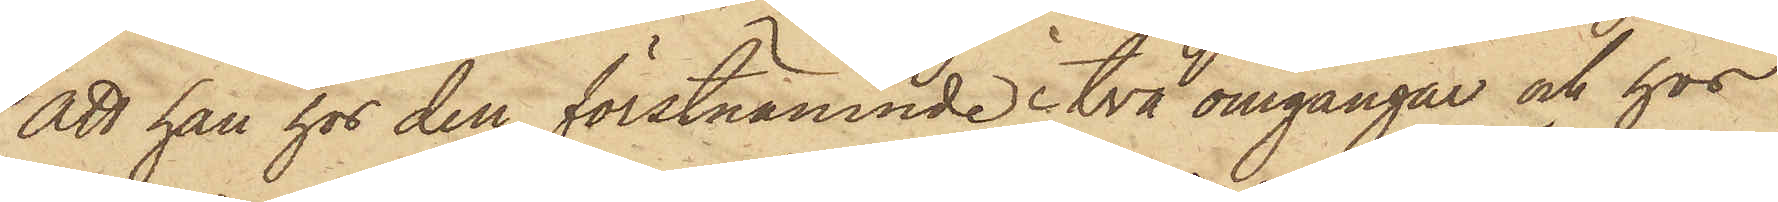att han hos den förstnämnde i två omgångar och hos
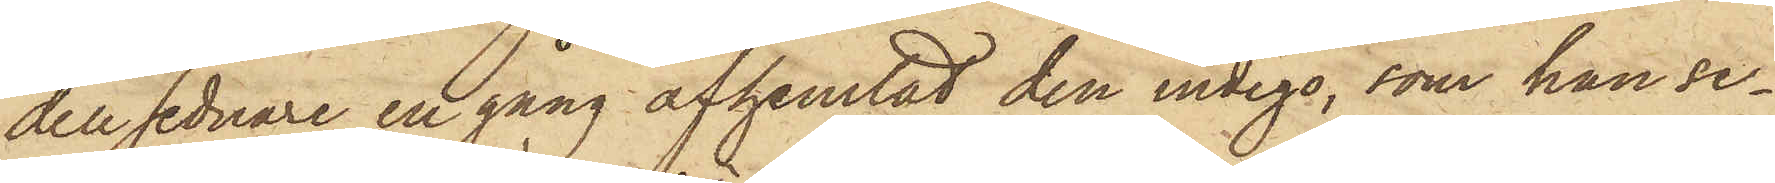den sednare en gång afhemtat den indigo, som han se¬
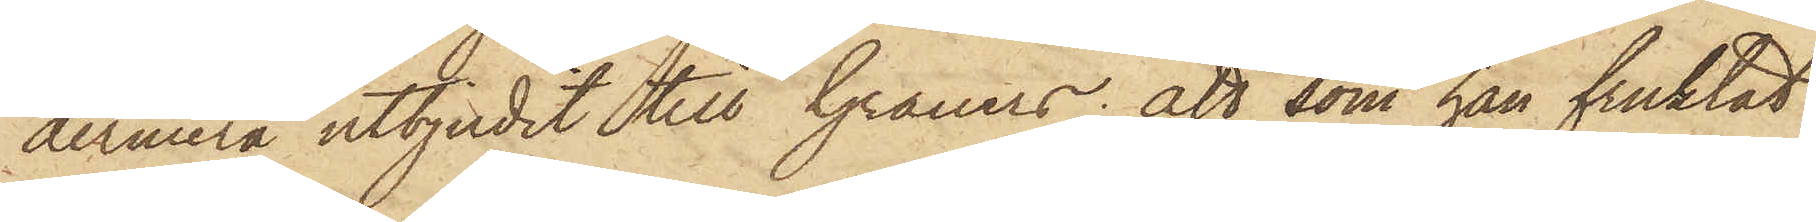dermera utbjudit till Grauers; att som han fruktat
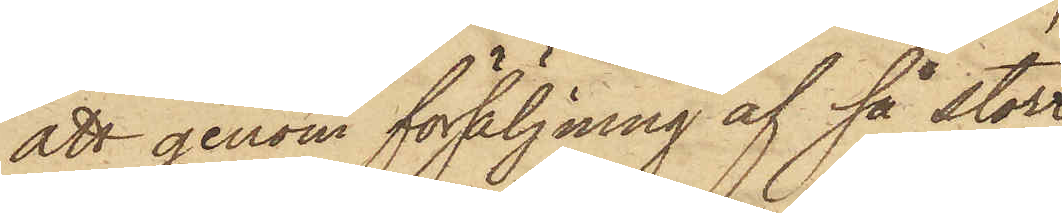att genom försäljning af så stor
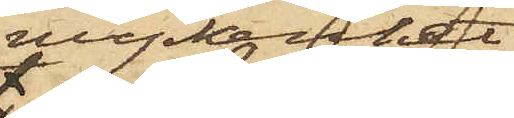myckenhet
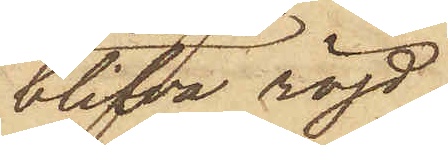blifva röjd,
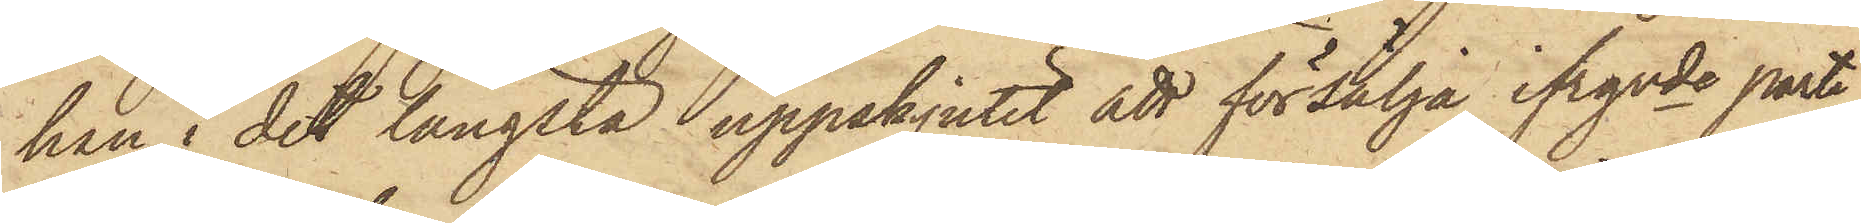han i det längsta uppskjutit att försälja ifrgnde parti,
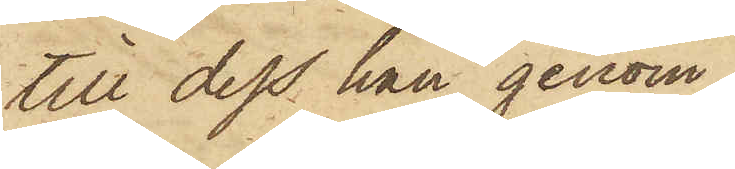till dess han genom
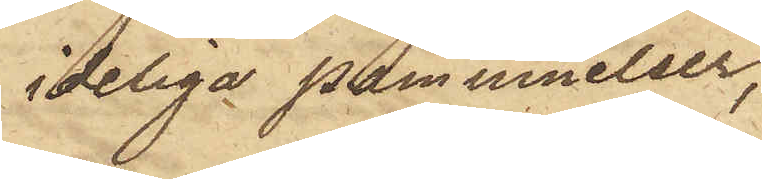ideliga påminnelser,
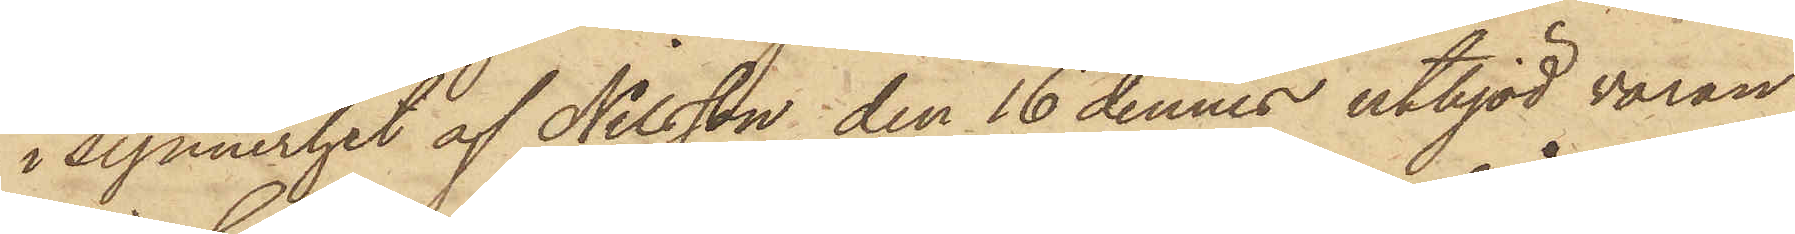i synnerhet af Nilsson, den 16 dennes utbjöd varan
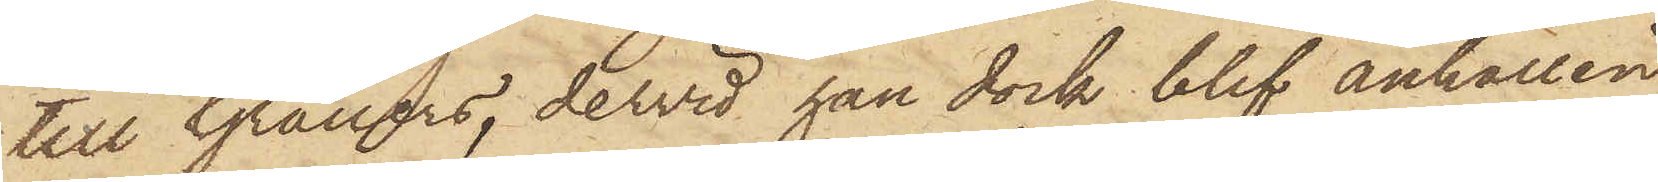till Grauers, dervid han dock blef anhållen
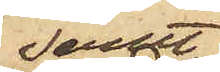samt
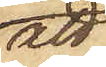att
